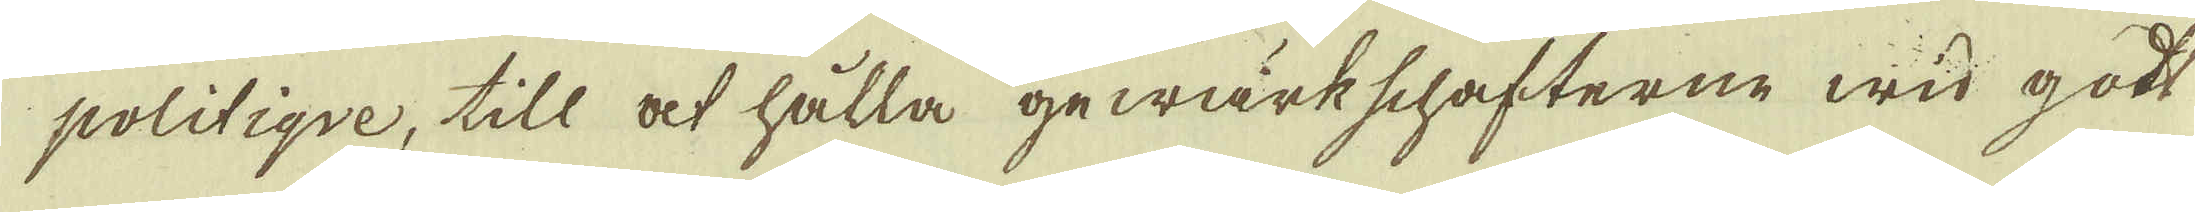politiqve, till at hålla gewärkschafterne wid gott
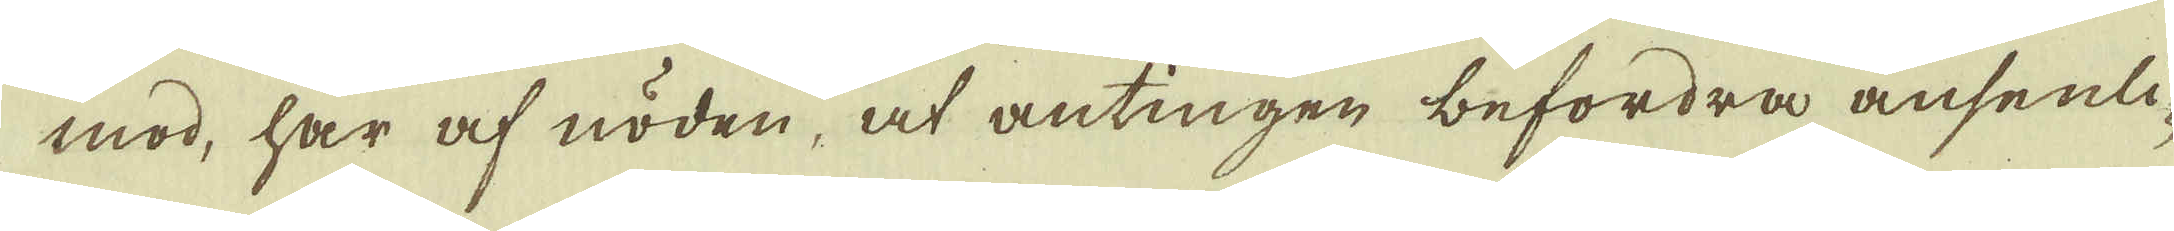mod, har af nöden, at antingen befordra ansenli-
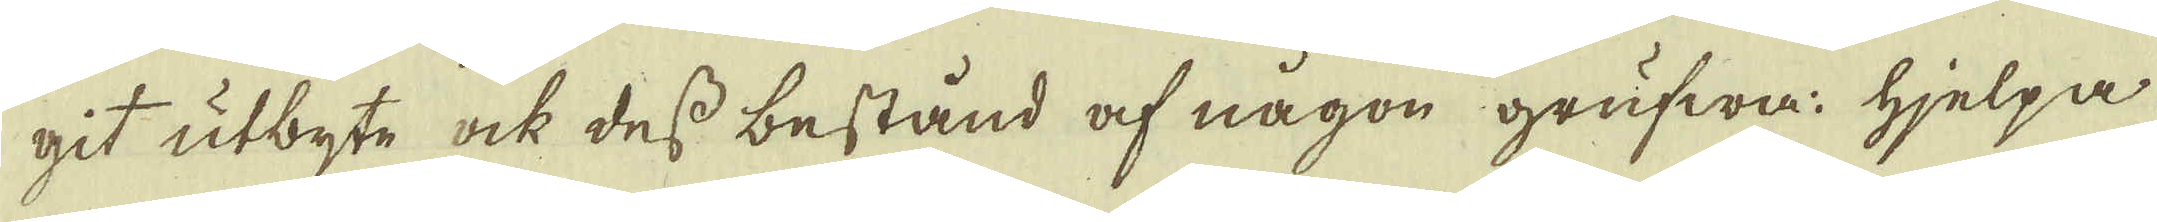git utbyte ock des bestånd af någon grufwa hjelpa
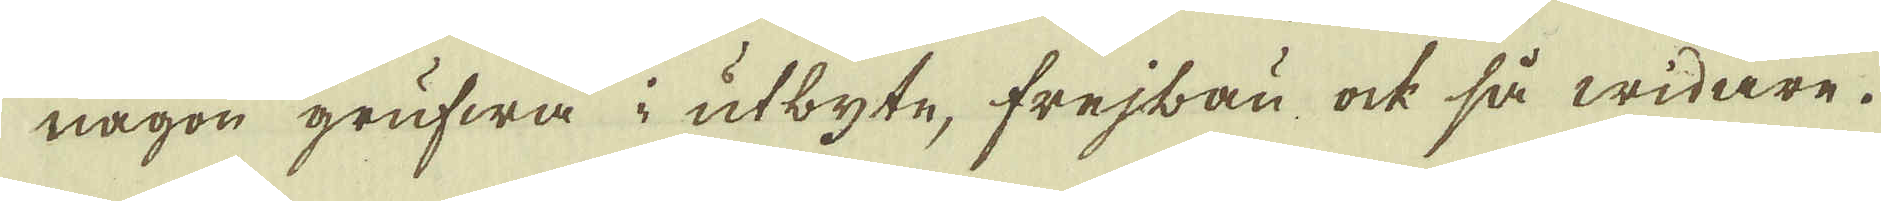någon grufwa i utbyte, frejbau, ock så widare.
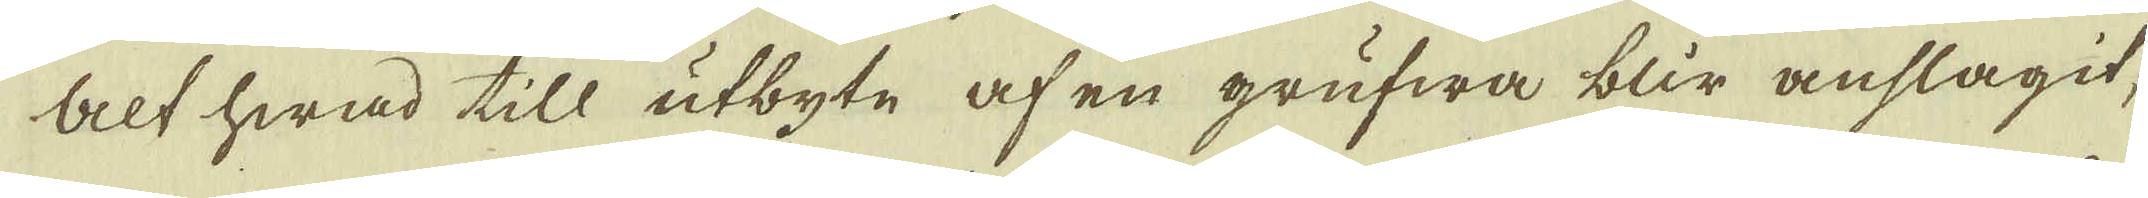Alt hwad till utbyte af en grufwa blir anslagit,
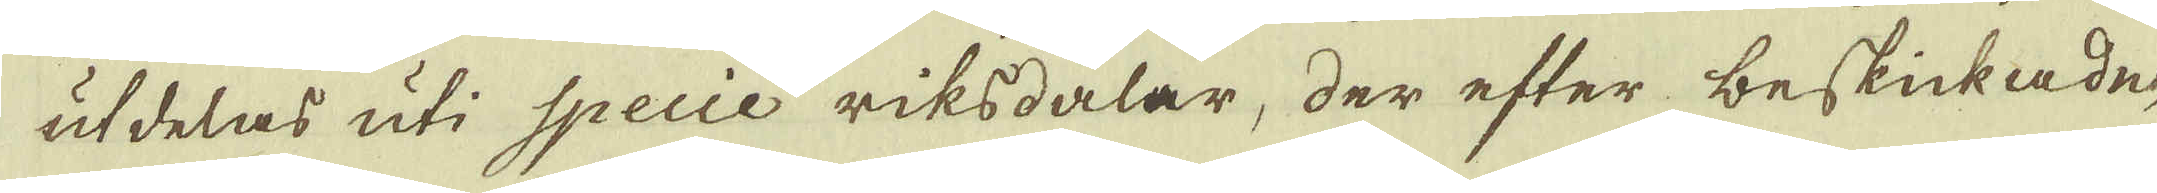utdelas uti Specie riksdalar, der efter beskickade,
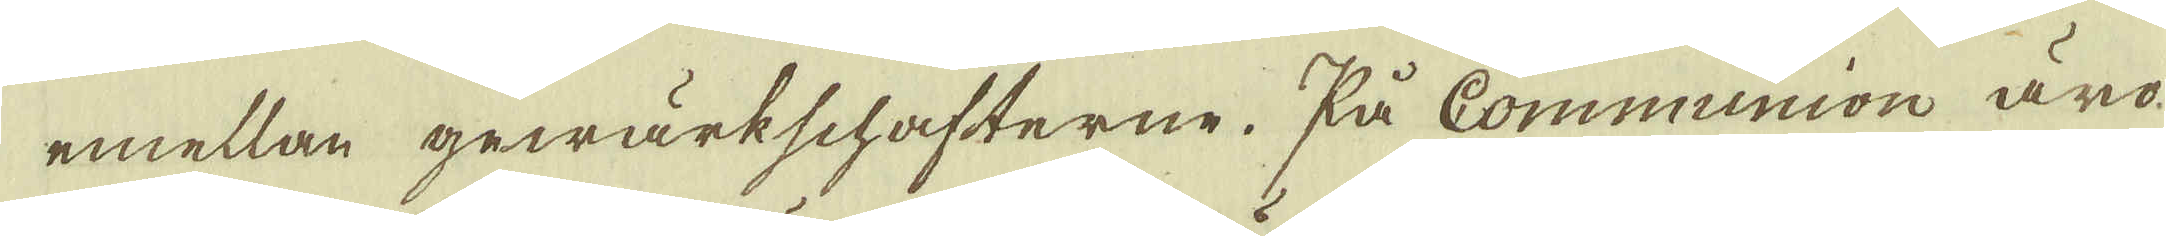emellan gewärkschafterne. På Communion äro
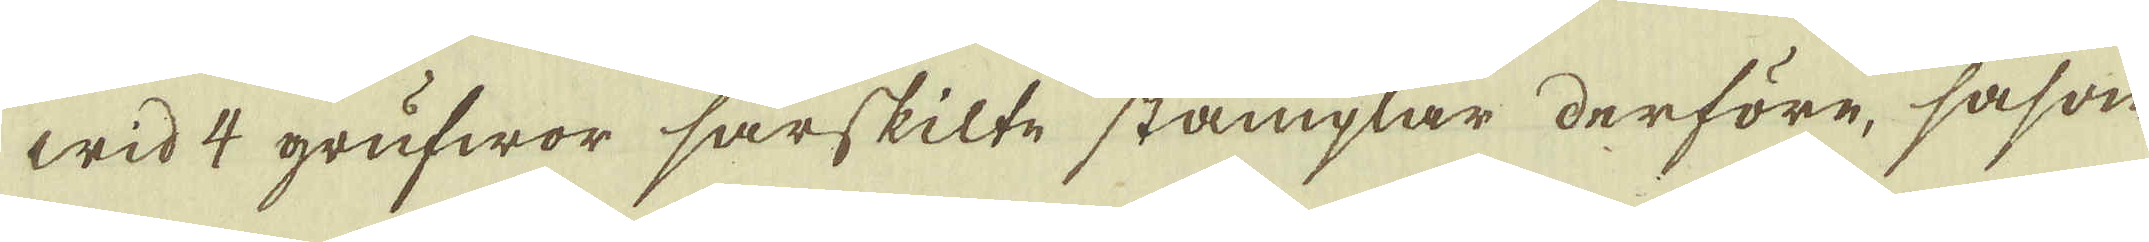wid 4 grufwor särskilte stämplar derföre, såsom
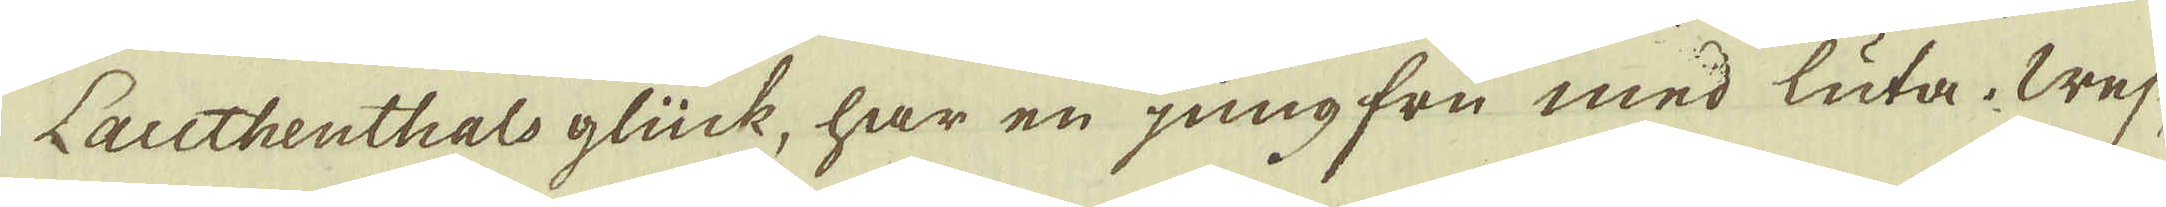Lauthenthals glück, har en jungfru med luta. Wej-
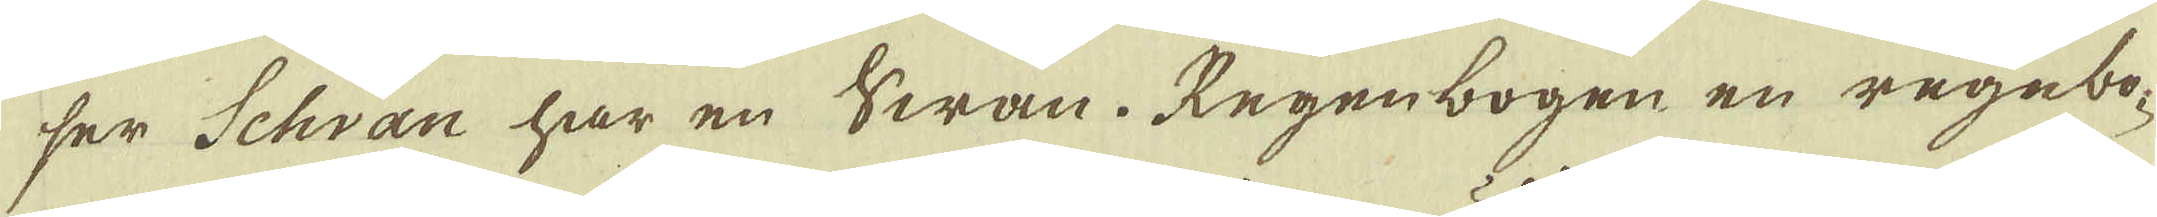ser Schvan har en Swan. Regenbogen en regnbo-
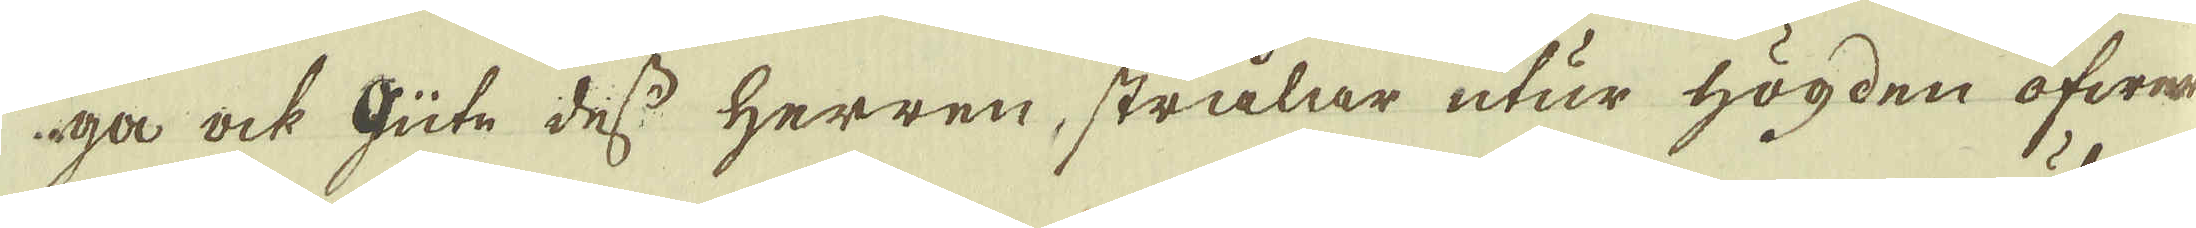ga ock Gute dess Herren, strålar utur högden öfwer
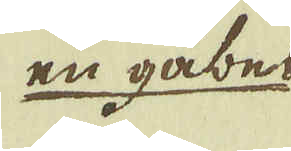en gäbel
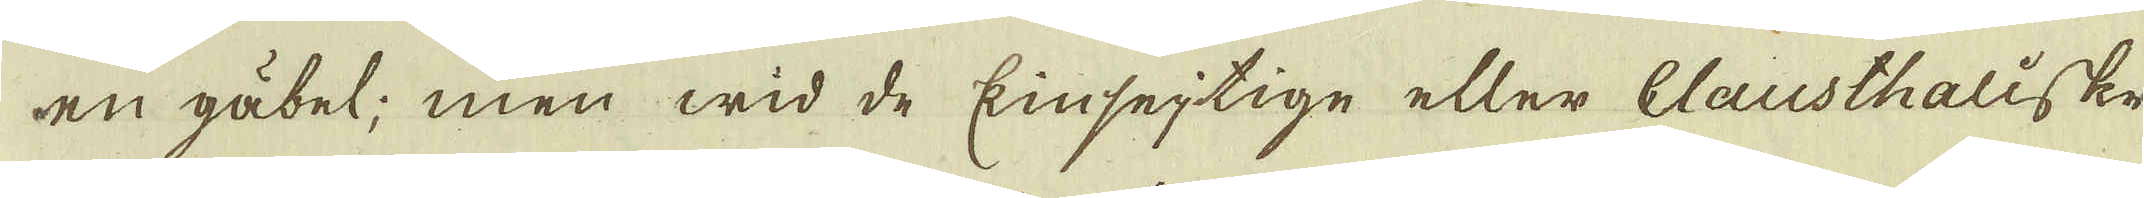en gäbel; men wid de kinsejtige eller Clausthaliske
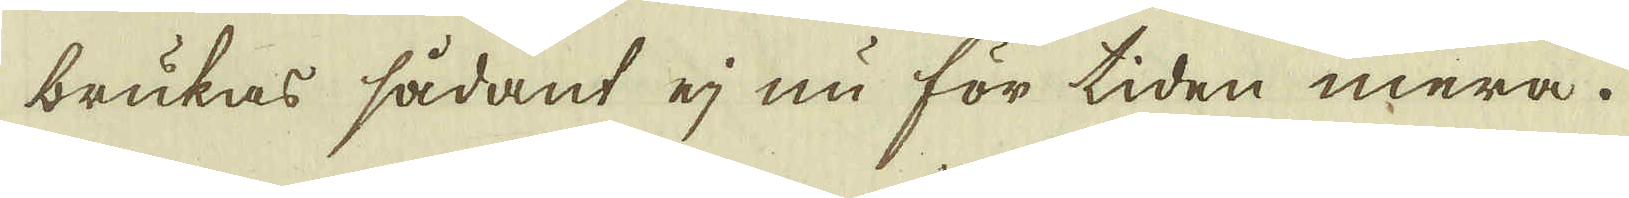brukas sådant ej nu för tiden mera.
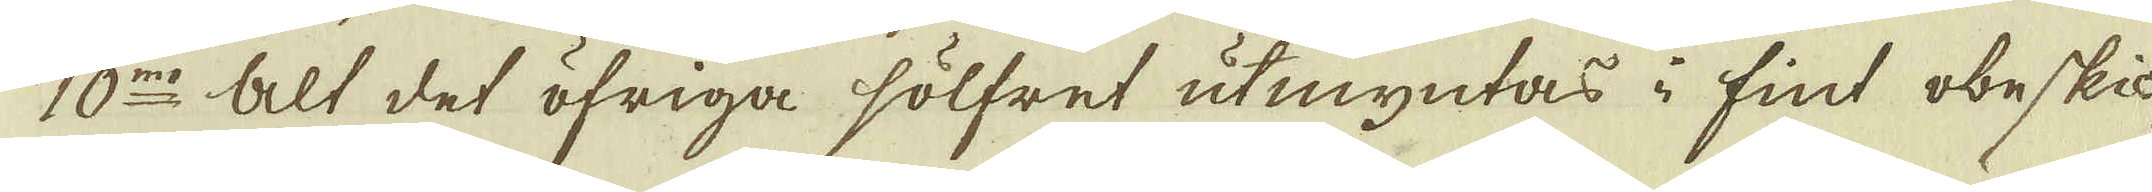10:mo Alt det öfriga sölfret utmyntas i fint obeskic-
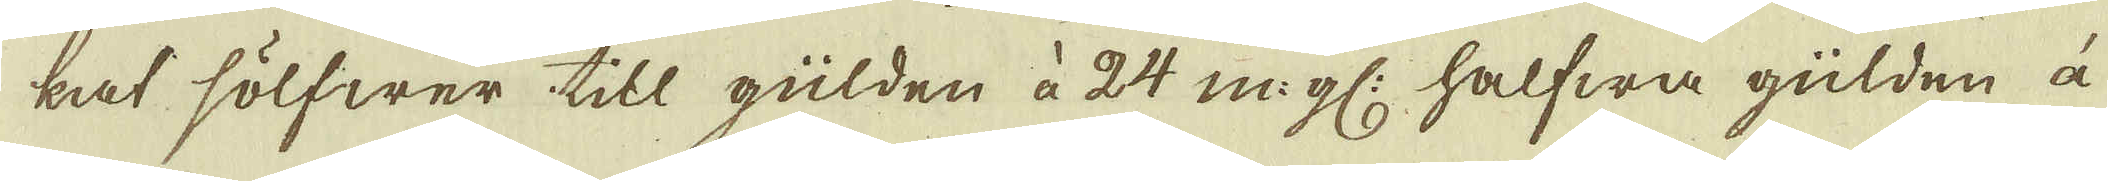kat sölfwer till gülden à 24 m:gl: halfwa gülden à
